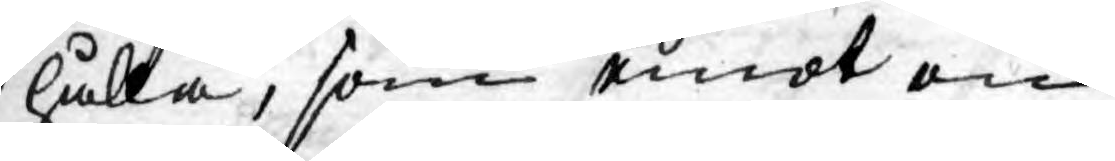hålla, som emot en
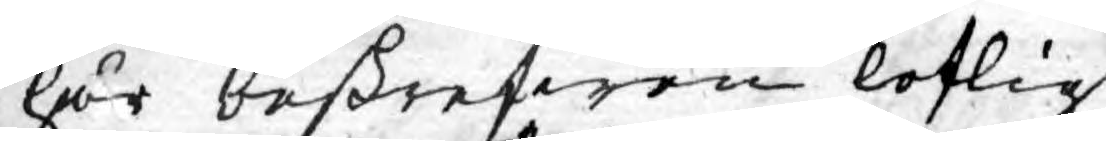här beskrefwen loflig
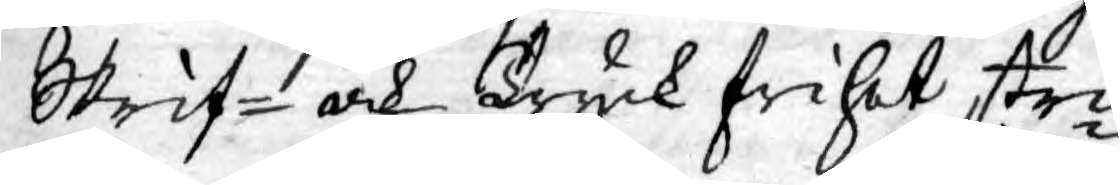Skrif- och Tryck frihet stri¬
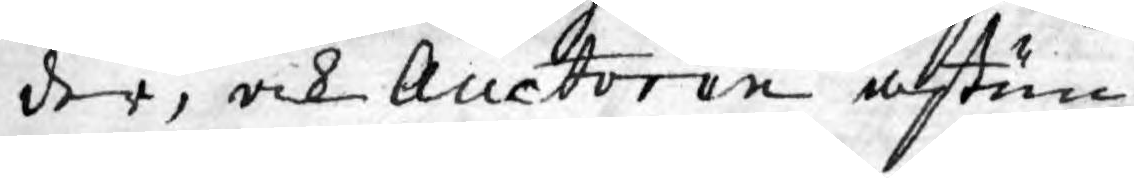der, och Auctoren åstun¬
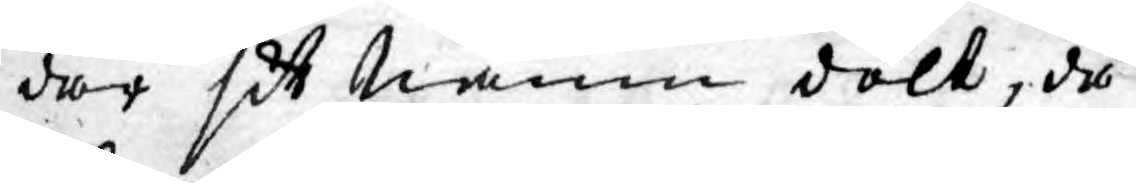dar sit Namn dolt, då
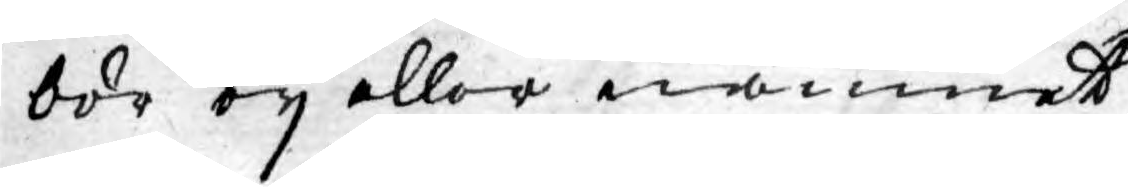bör ey eller namnet
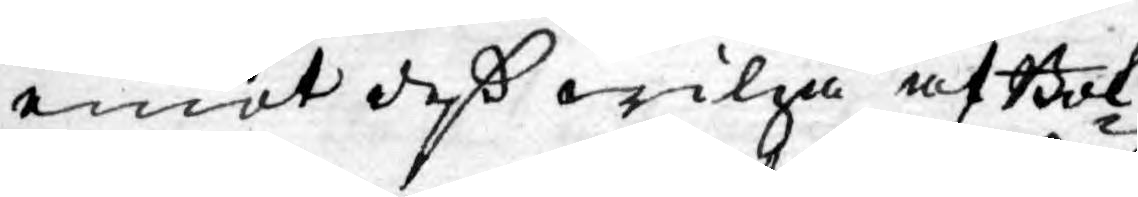emot deß wilja af Bok¬
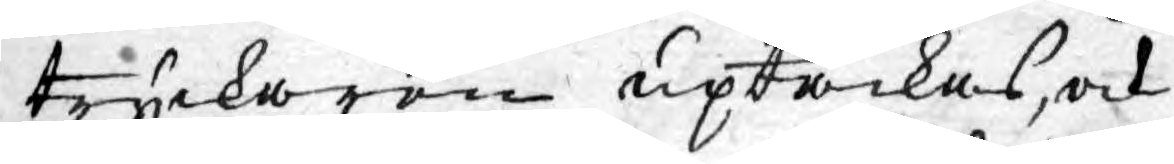tryckaren uptäckas, och
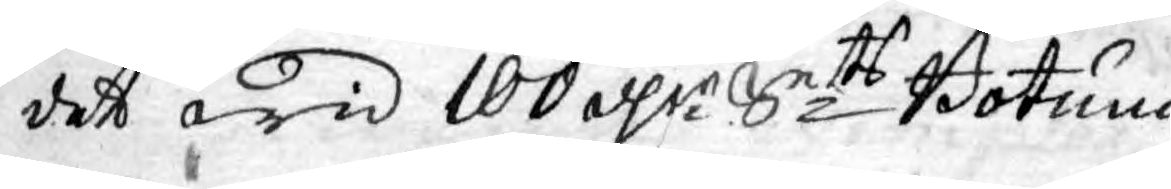det wid 100 dlr Smt Botum.
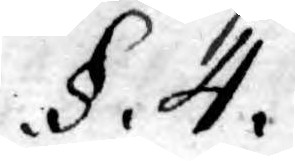.§. 4.
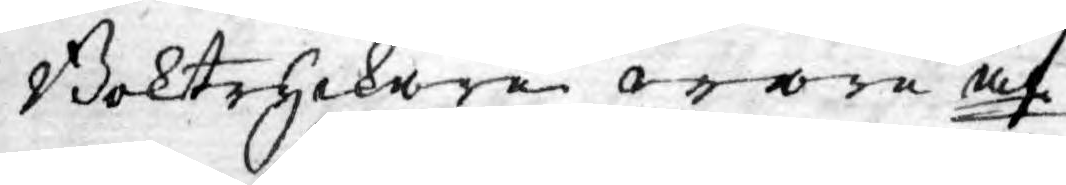Boktryckare ware äf¬
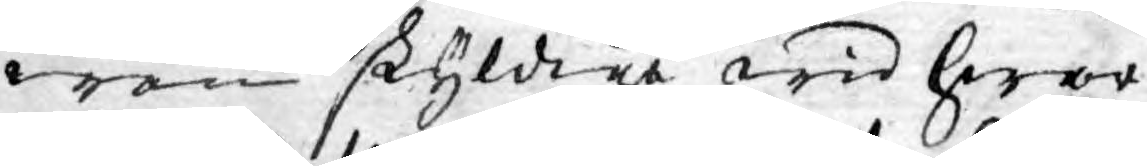wen skyldige wid hwar¬
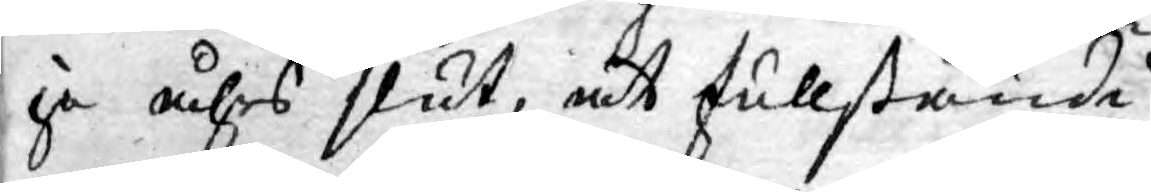je åhrs slut, at fullständi¬
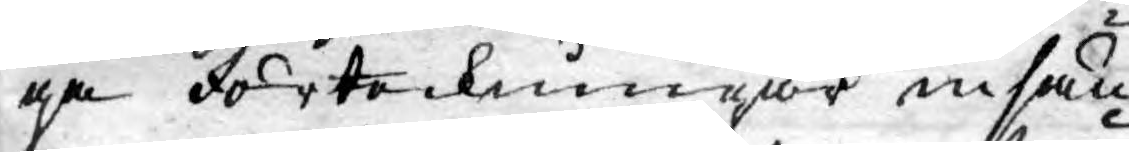ga förteckningar insän¬
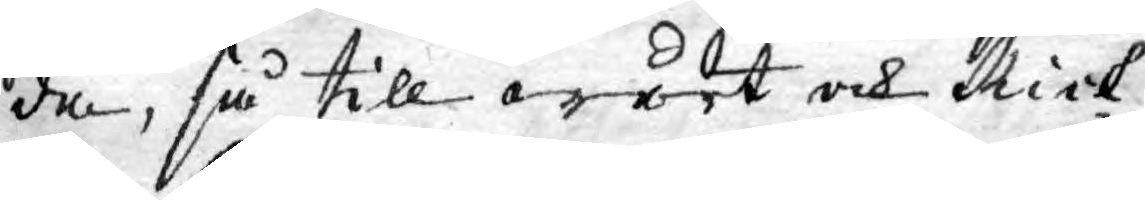da, så till wårt ock Rick¬
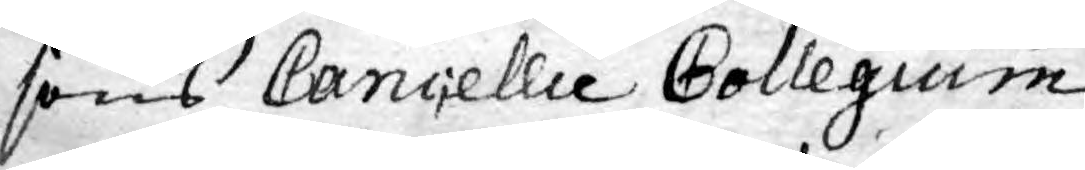sens Cancellie Collegium,
